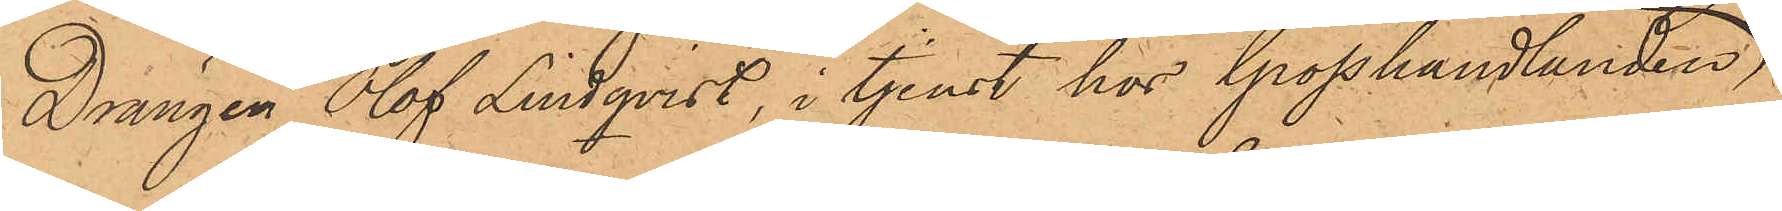Drängen Olof Lindqvist, i tjenst hos Grosshandlanden
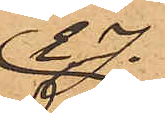E.J.
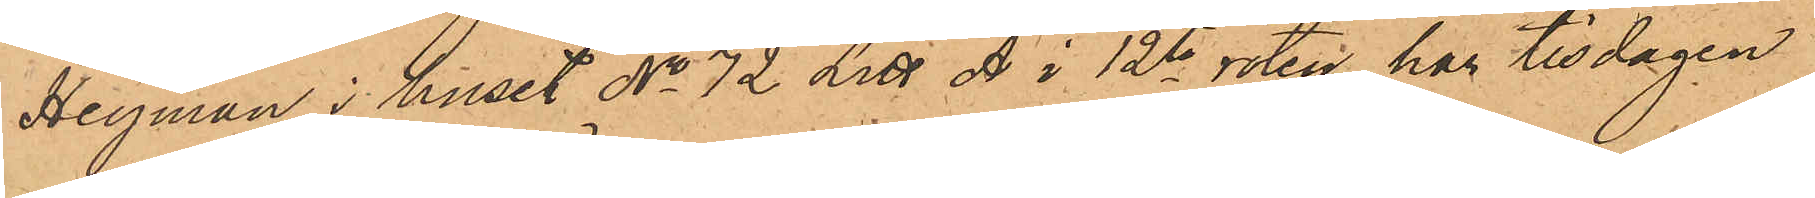Heyman i huset No 72 Litt A i 12te roten har tisdagen
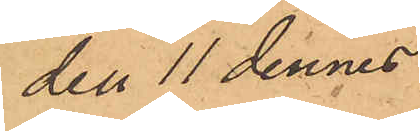den 11 dennes
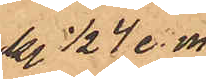kl. ½4 e. m.
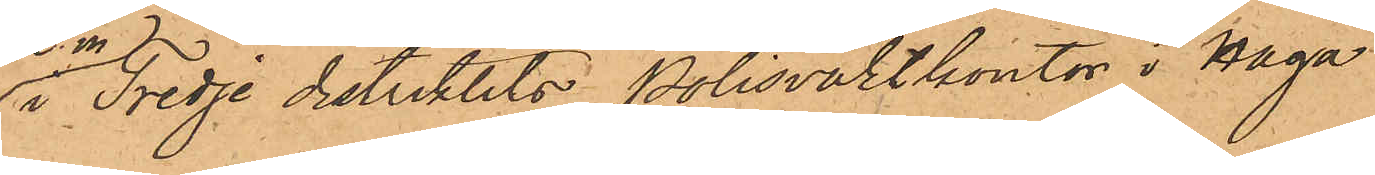i Tredje distriktets Polisvaktkontor i Haga
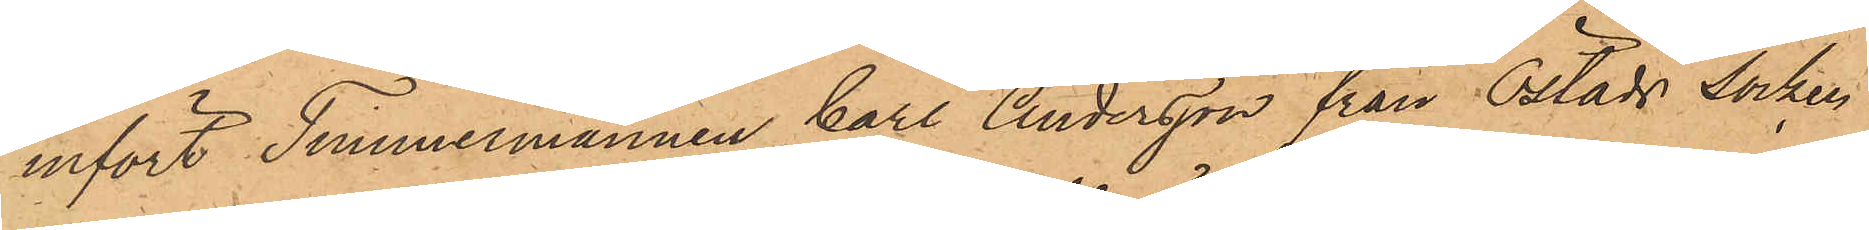infört Timmermannen Carl Anderson från Östads Socken
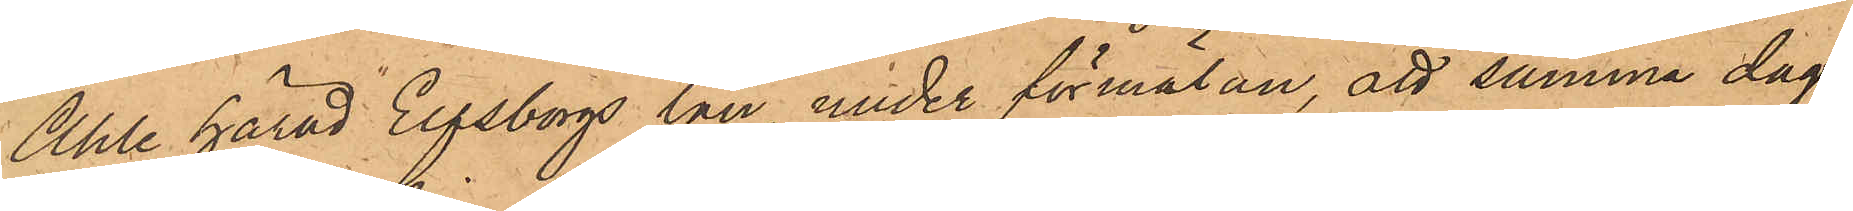Ahle härad Elfsborgs län, under förmälan, att samma dag
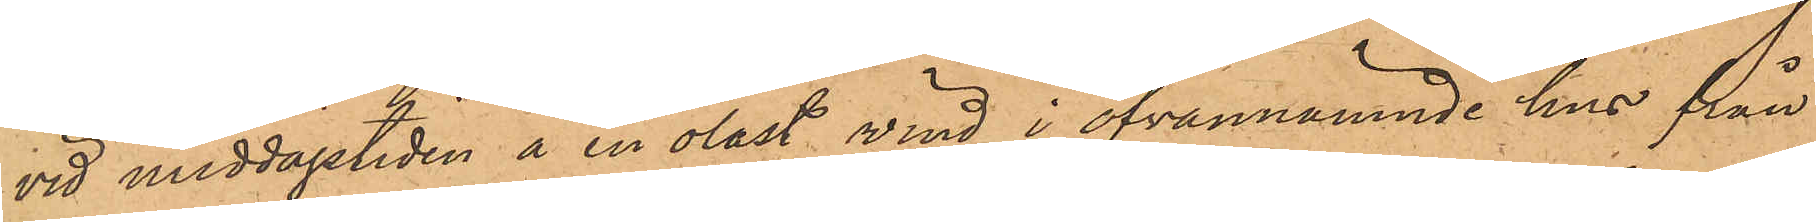vid middagstiden å en olåst vind i ofvannämnde hus från
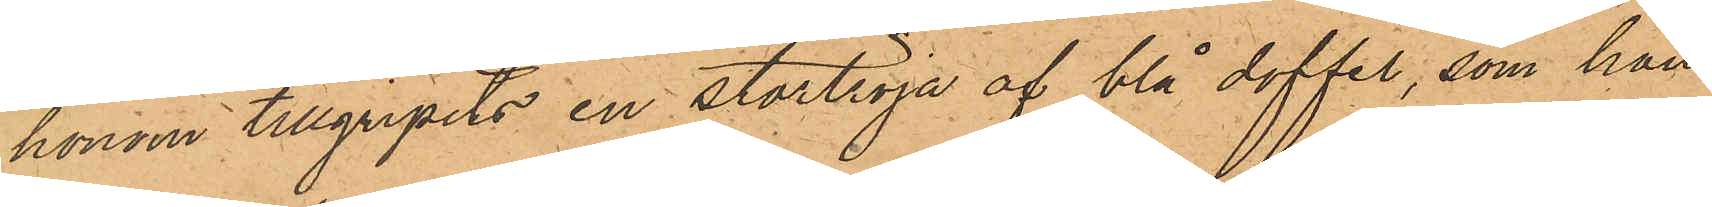honom tillgripits en stortröja af blå doffel, som han
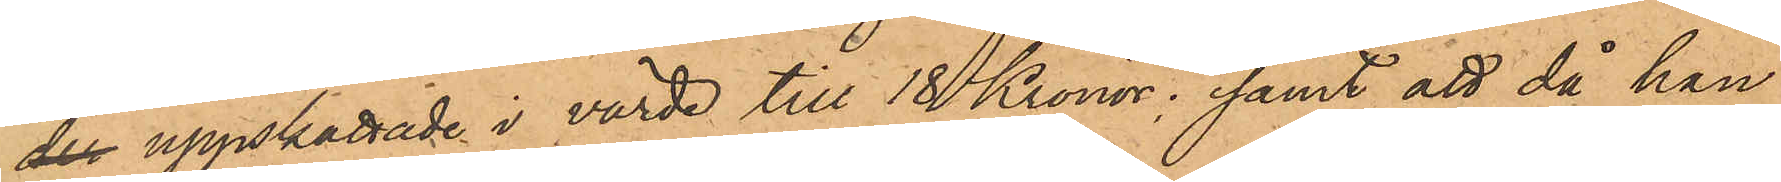der uppskattade i värde till 18 Kronor; samt att då han
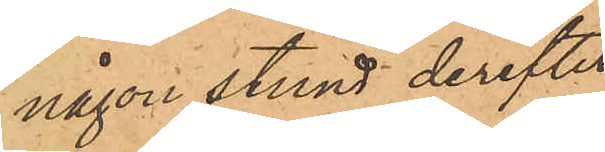någon stund derefter
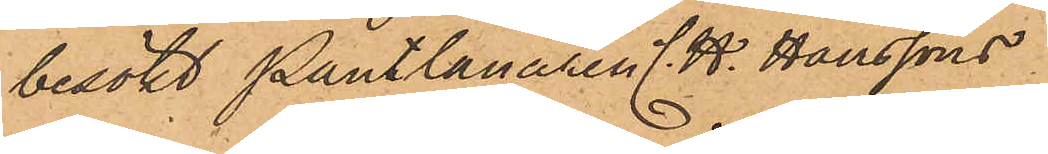besökt Pantlånaren C.H. Hanssons
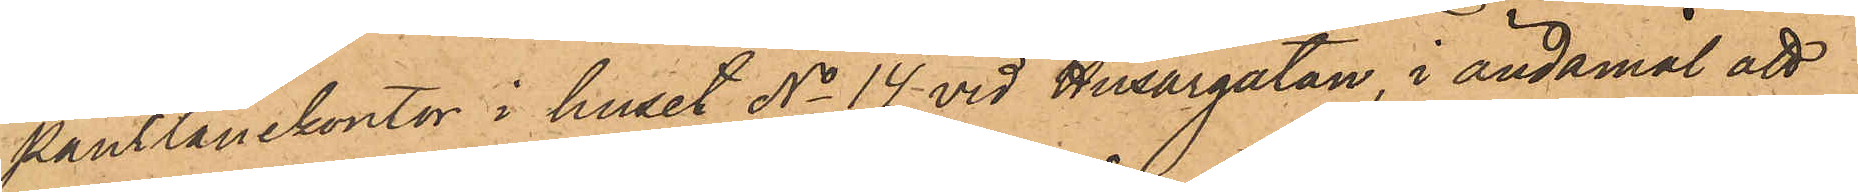pantlånekontor i huset No 14 vid Husargatan, i ändamål att
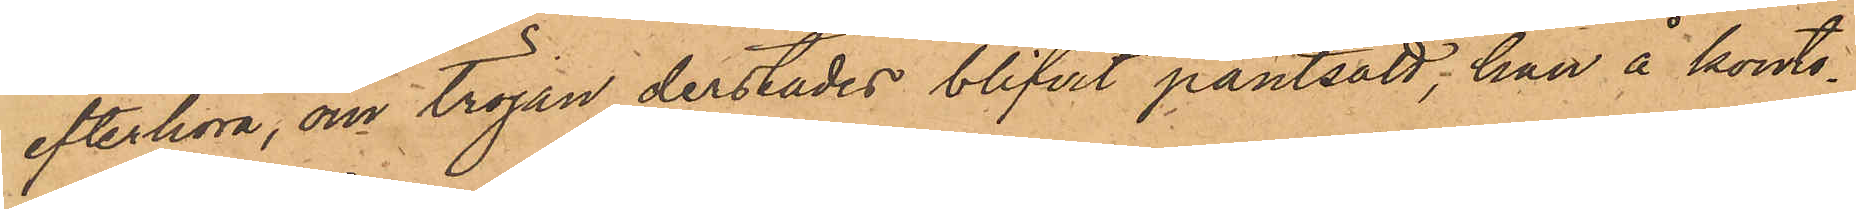efterhöra, om tröjan derstädes blifvit pantsatt, han å konto¬
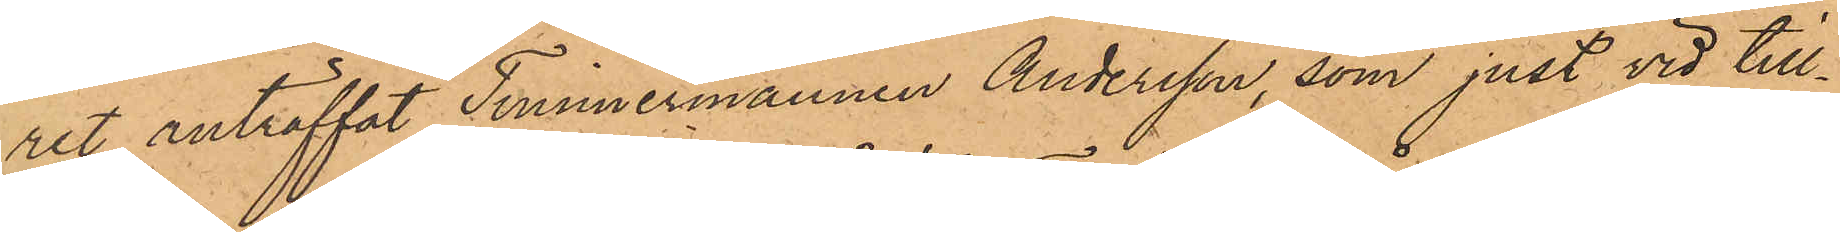ret anträffat Timmermannen Andersson, som just vid till¬
